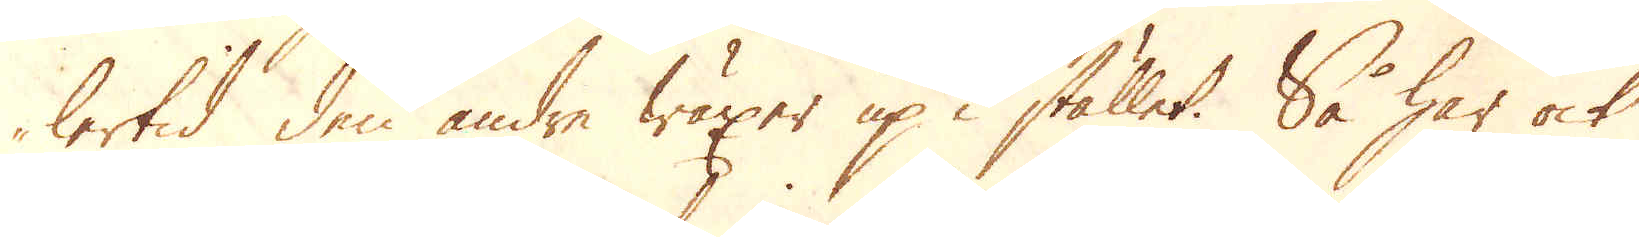lertid den andre wäxer up i stället. Så har ock
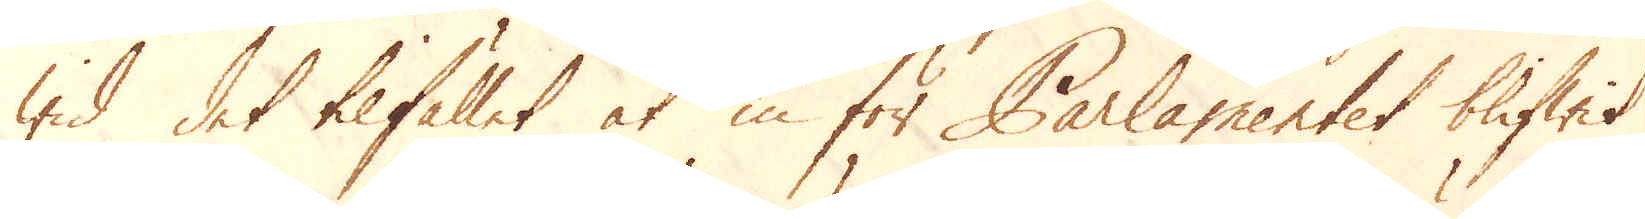wid det tilfället at in för Parlamentet blifwit
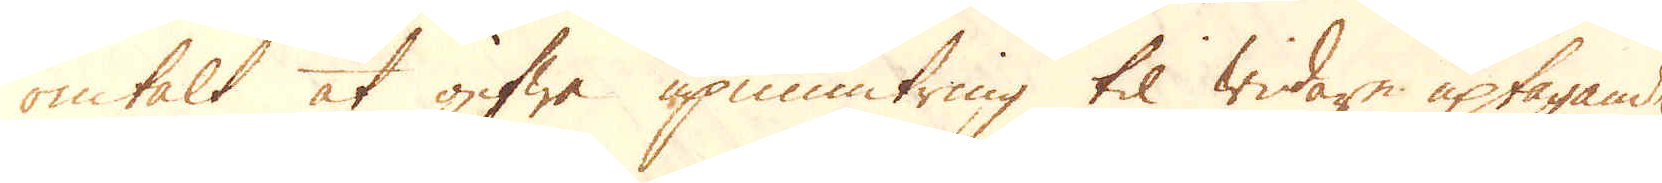omtalt at gifwa upmuntring til widare uptagande
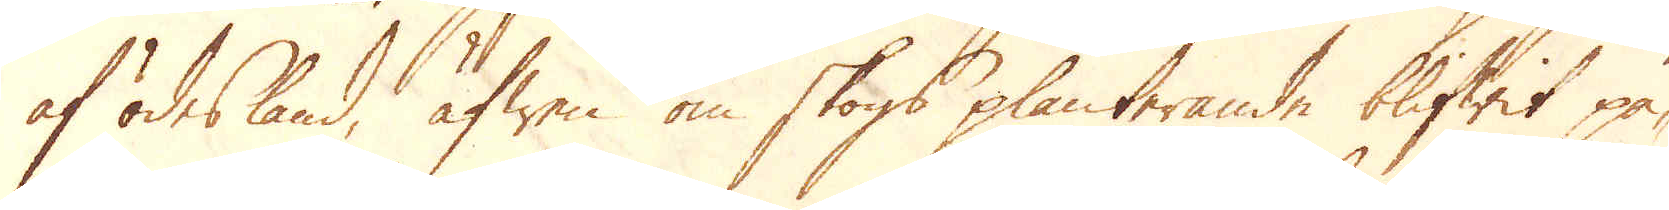af ödesland, äfwen om skogs planterande blifwit på-
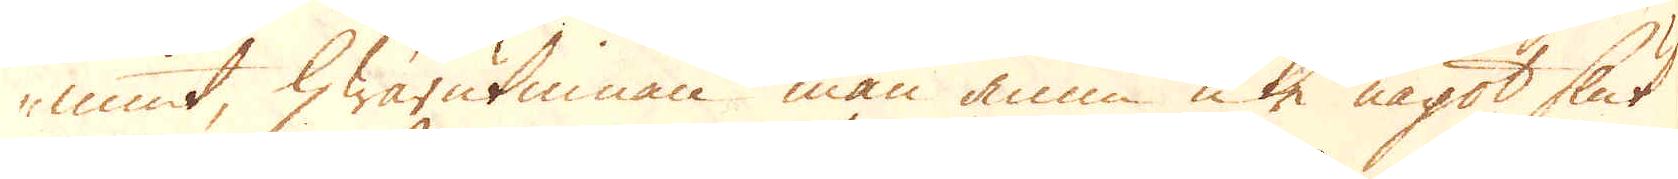mint, hwarutinnan man ännu icke något slut
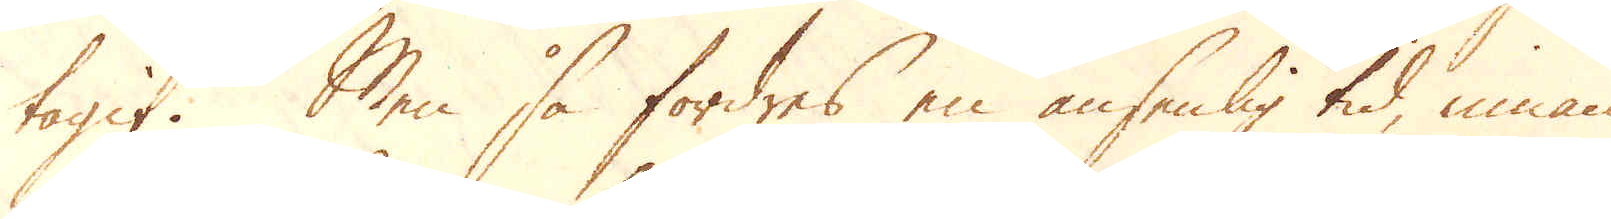tagit. Men så fordres en ansenlig tid, innan
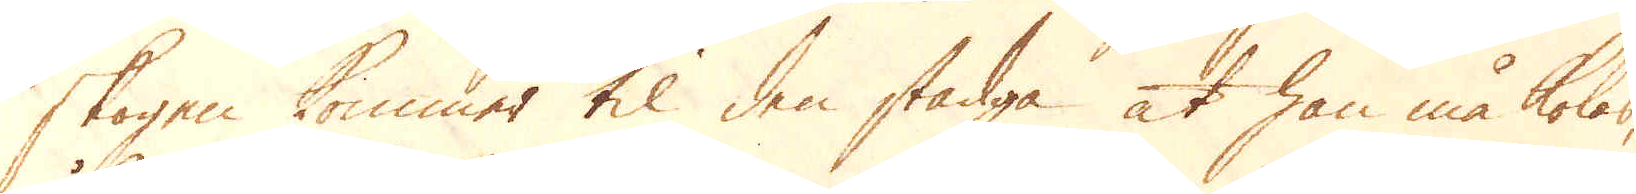skogen kommer til den stadga at han må koles,
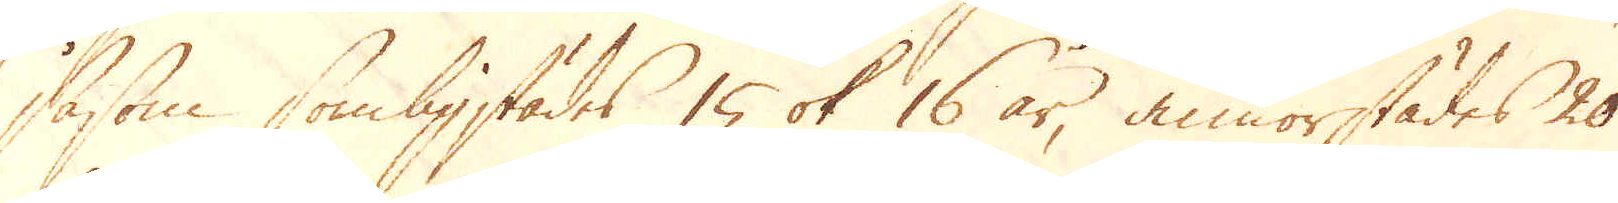såsom sombligstädes 15 ok 16 år, annorstädes 20
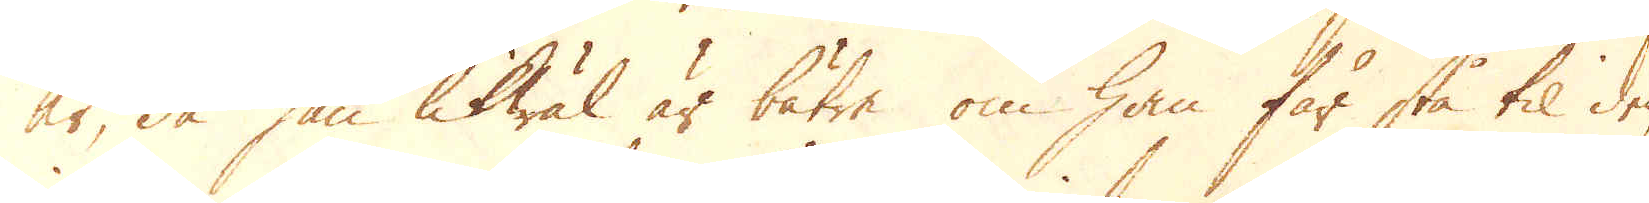år, då han likwäl är bätre om han får stå til den
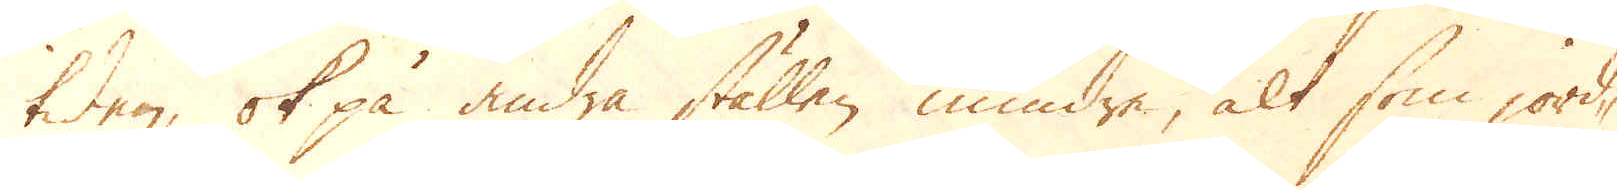tiden, ok på andra ställen mindre, alt som jord-
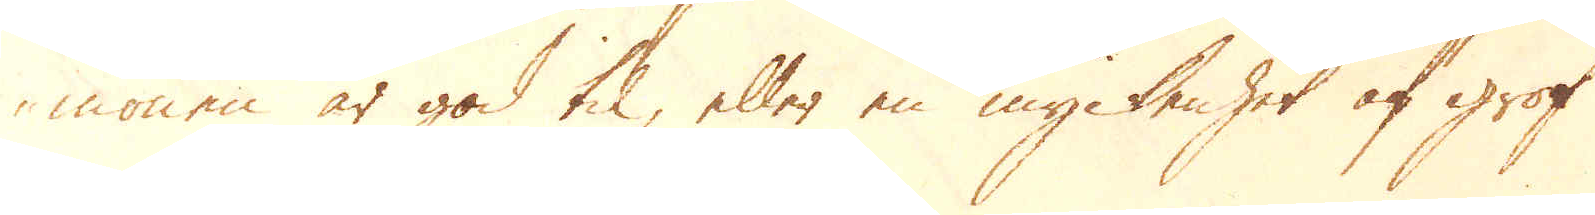monen är god til, eller en myckenhet af grof
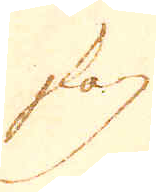skog
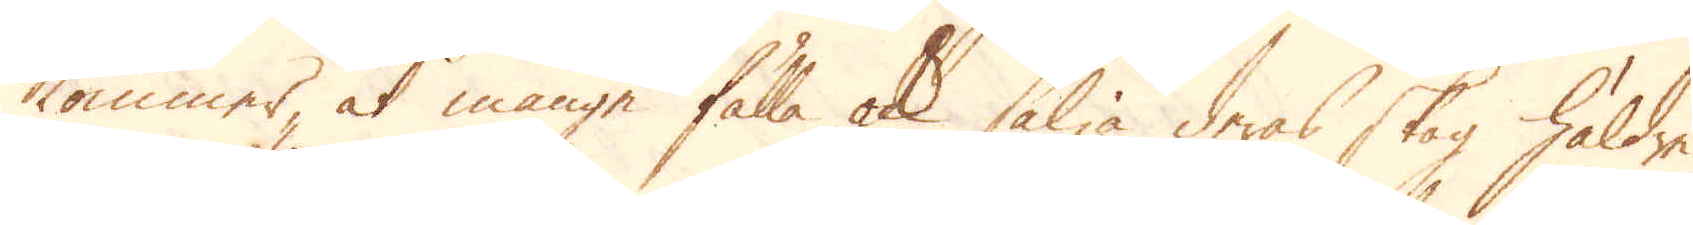kommer, at månge fälla ock sälja deras skog häldre
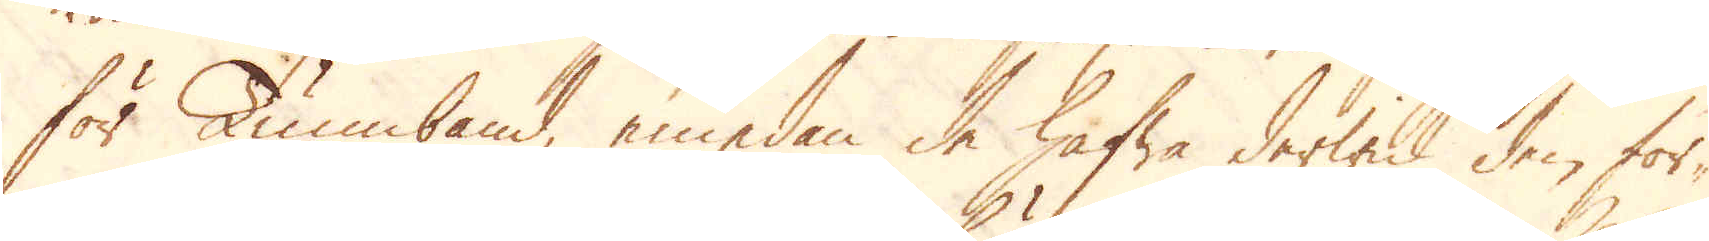för Tunnband, emedan de hafwa derwid den för-
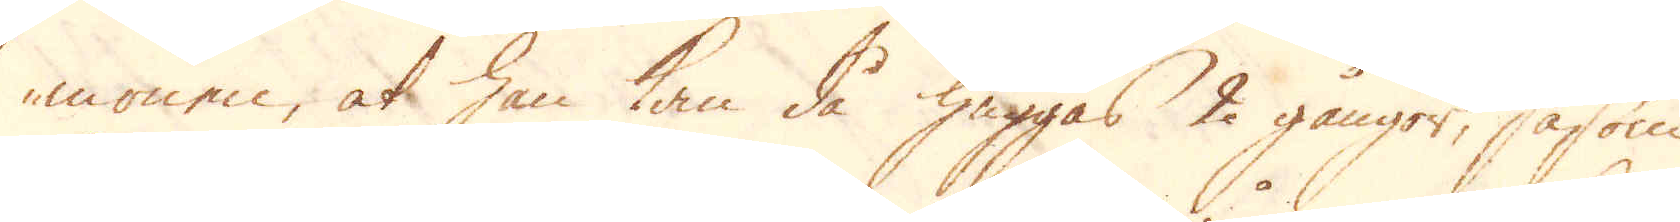monen, at han kan då huggas 2 gångor, såsom
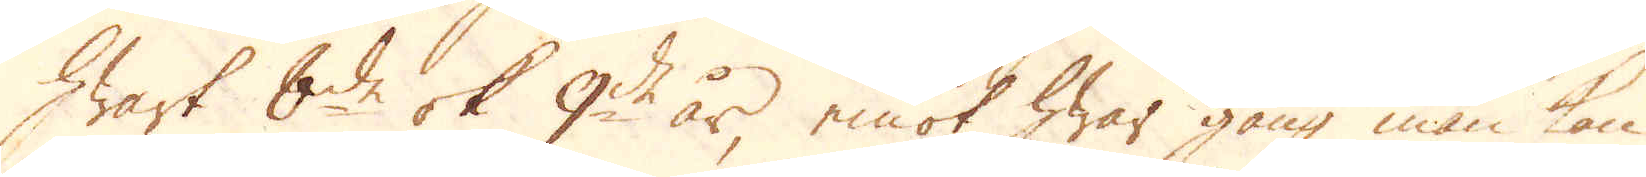hwart 8de ok 9de år, emot hwar gång man kan
